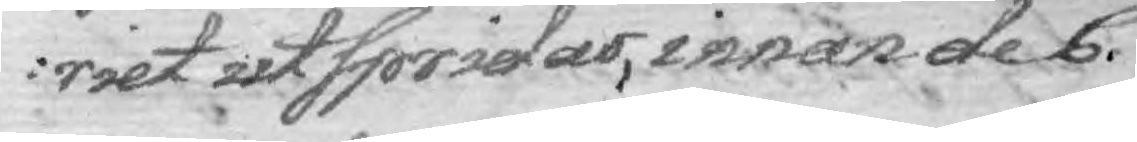riet utspridas, innan de C.
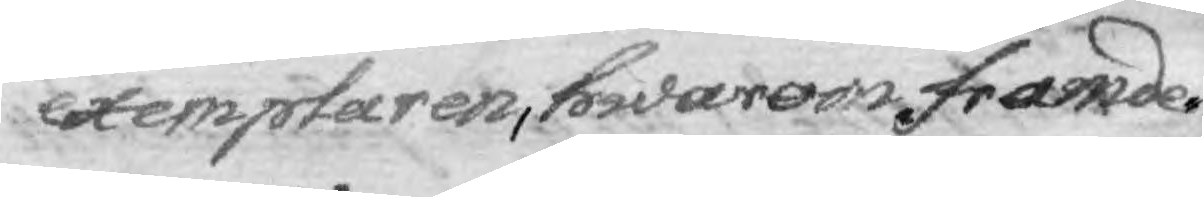exemplaren, hwarom framde¬
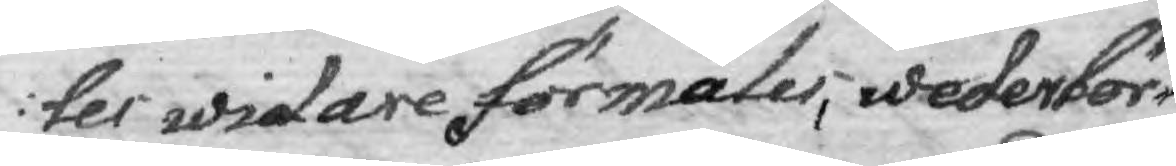ler widare formäles, wederbör¬
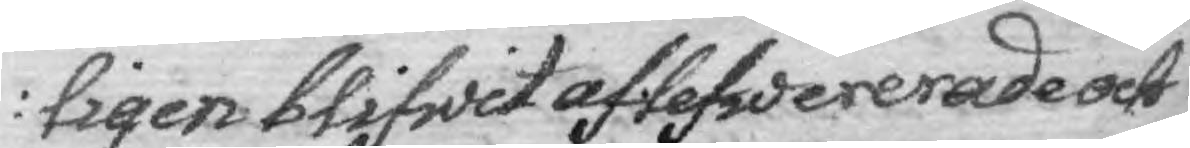ligen blifwit aflefwererade och
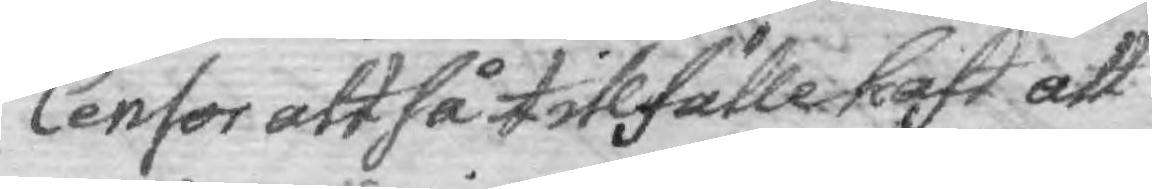Censor altså tillfälle haft att
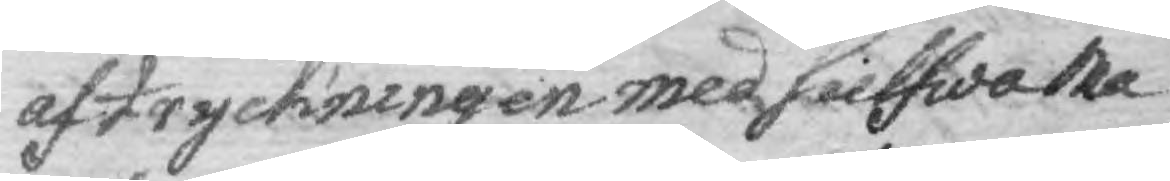af tryckningen med sielfwa Ma¬
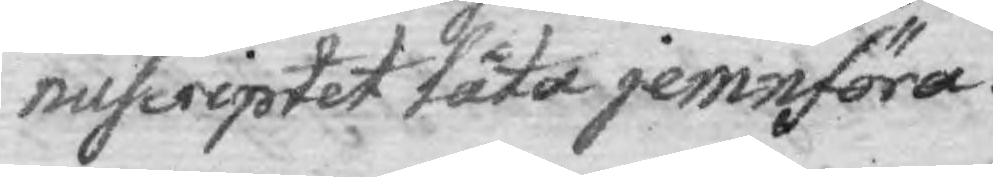nuscriptet låta jemnföra.
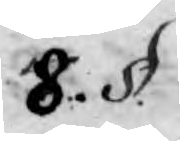8. §.
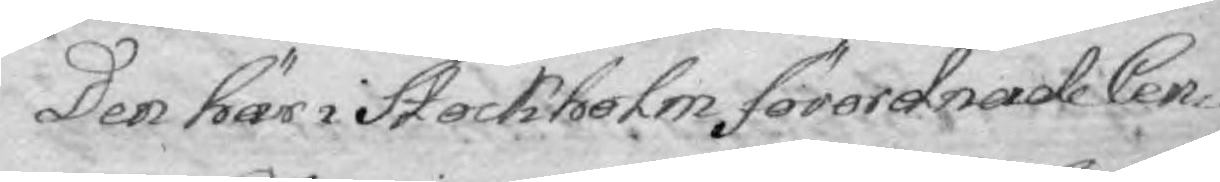Den här i Stockholm förordnade Cen¬
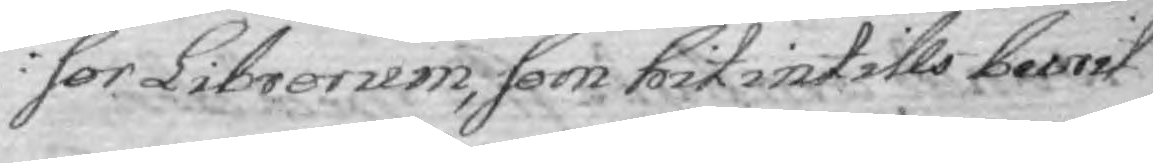sor Librorum, som hit intills burit
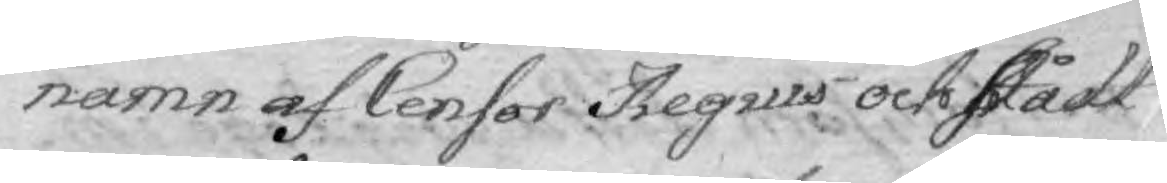namn af Censor Regius och stådt
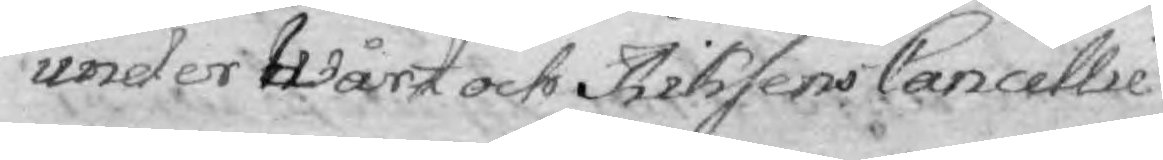under Wårt och Riksens Cancellie
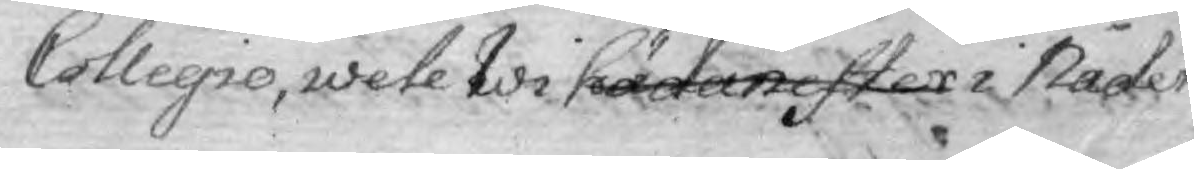Collegio, wete Wi hädanefter i Nåder
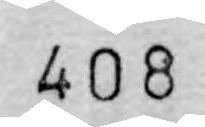408
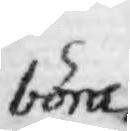böra
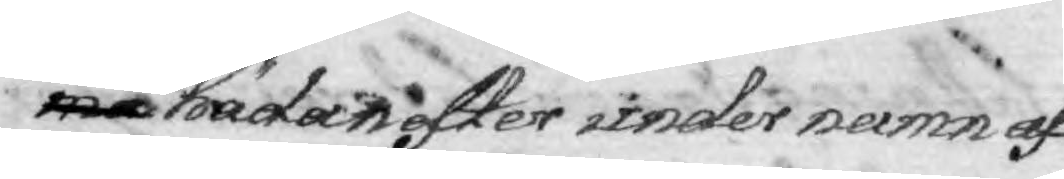må hädanefter under namn af
